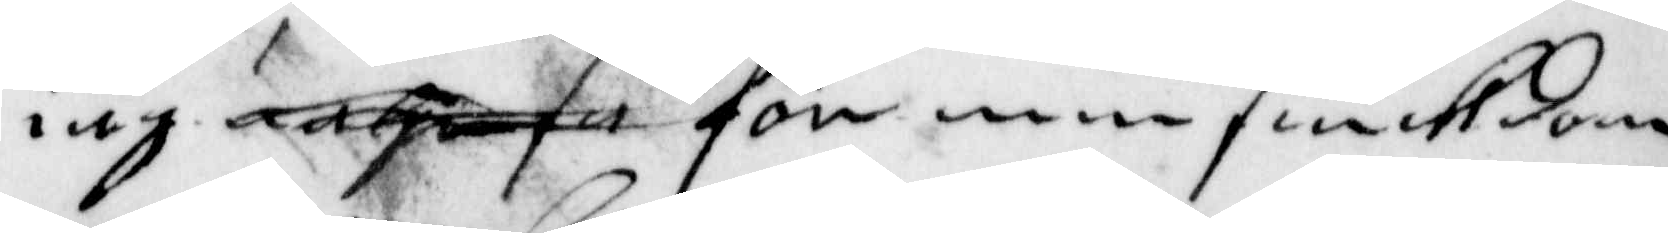iag änhså för min siukdom
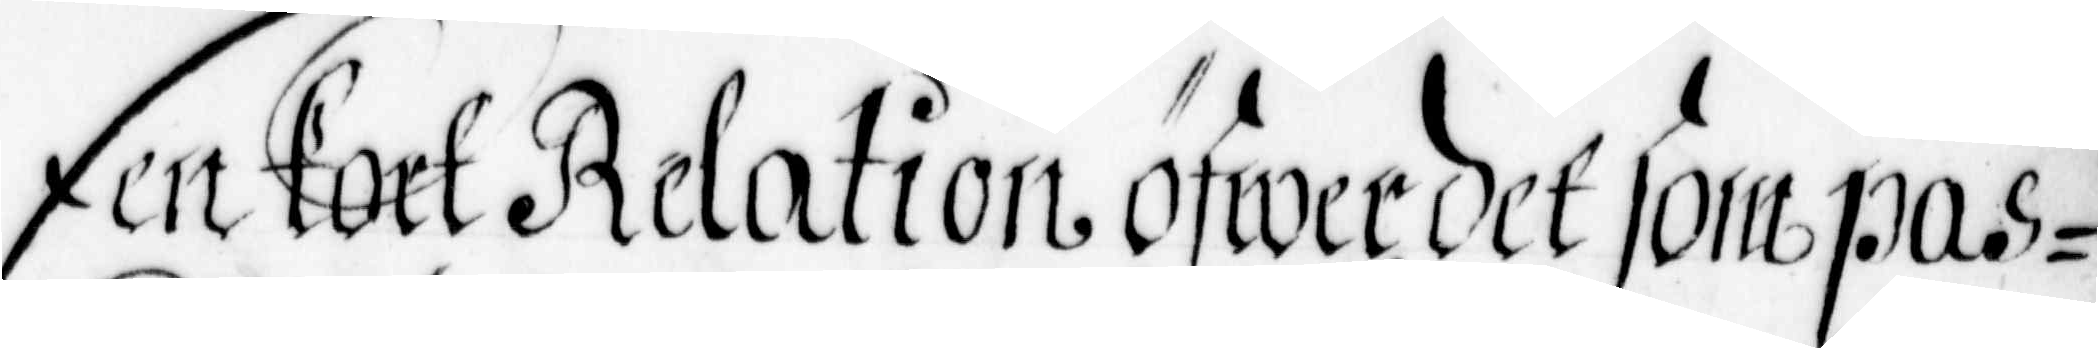Een kort Relation öfwer det som pas¬
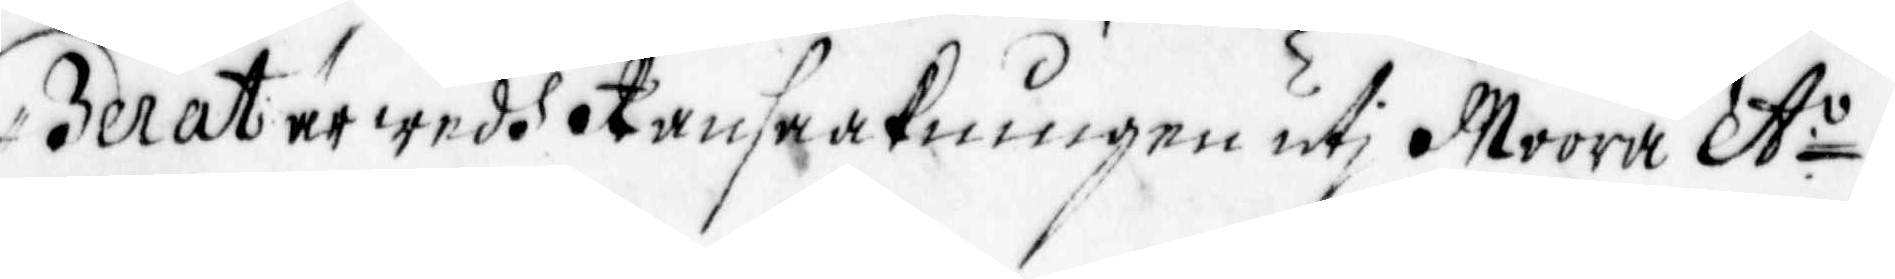serat är wedh Ransaakningen utj Moora A:o
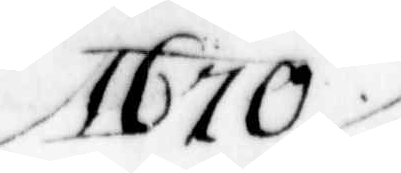1670.
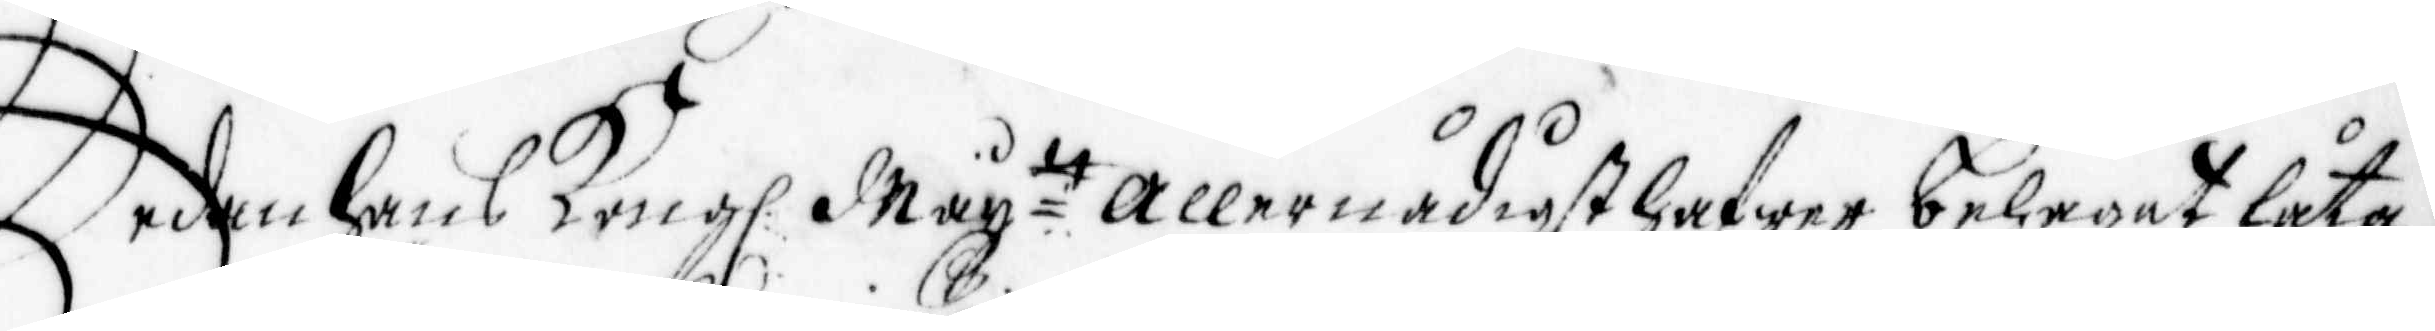Sedan hans Kong. May.tt Allernådigst hafwer behagat låta
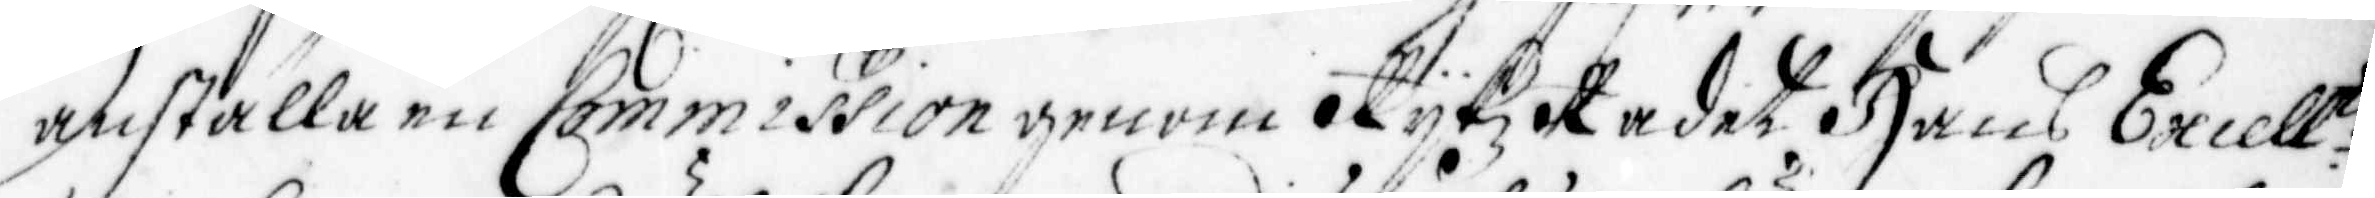anställa en Commission genom Rijkz Rådet Hans Excell:tz
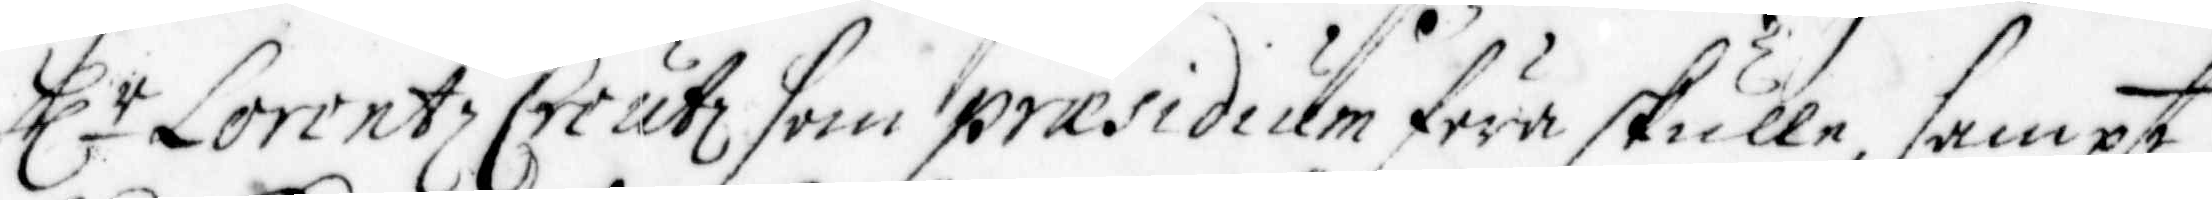Hr Lorentz Creutz som praæsidium föra skulle, sampt
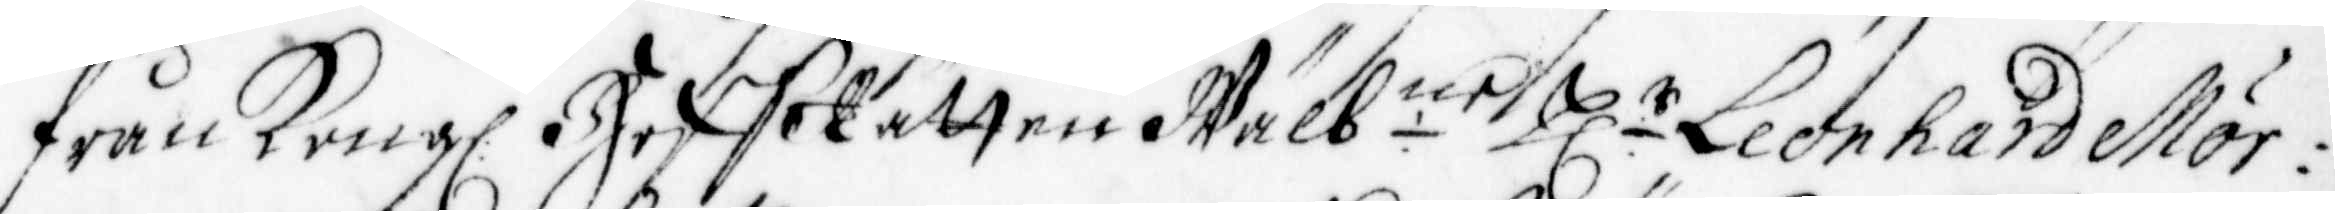från Kong: HoffRätten Wälb:ne Hr Leonhard Mör¬
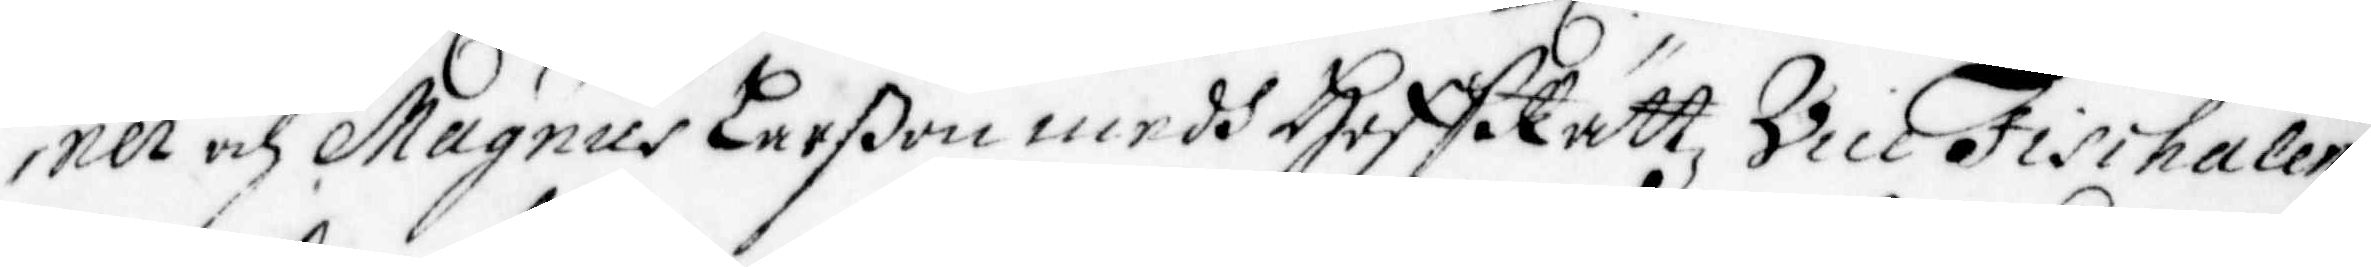ner och Magnus Larßon medh Hoffrättz Vice Fischalen
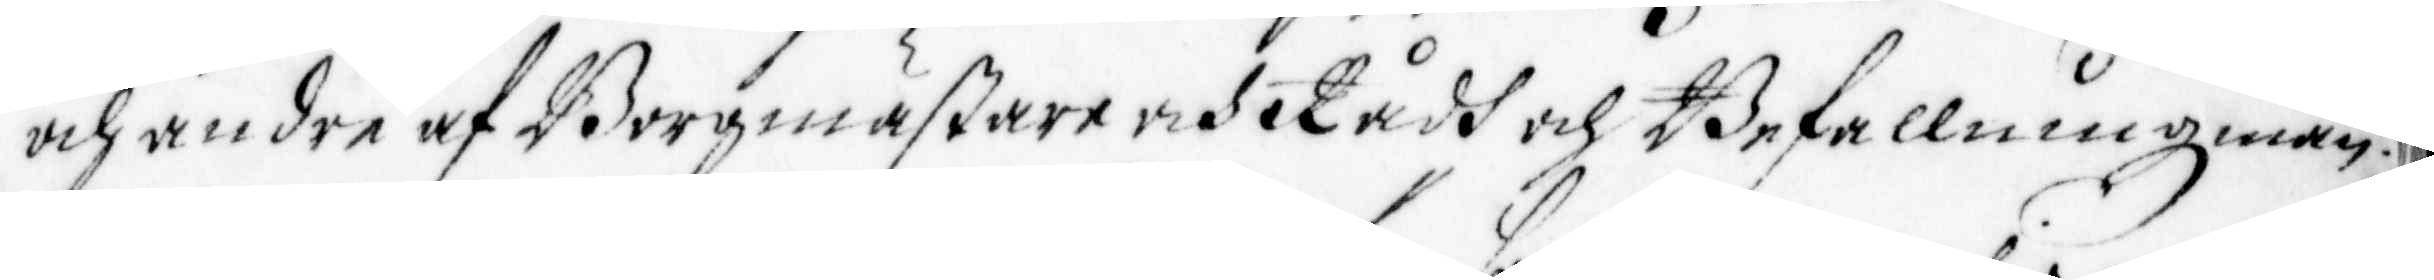och andre af Borgmästare och Rådh och Befallningzmän.
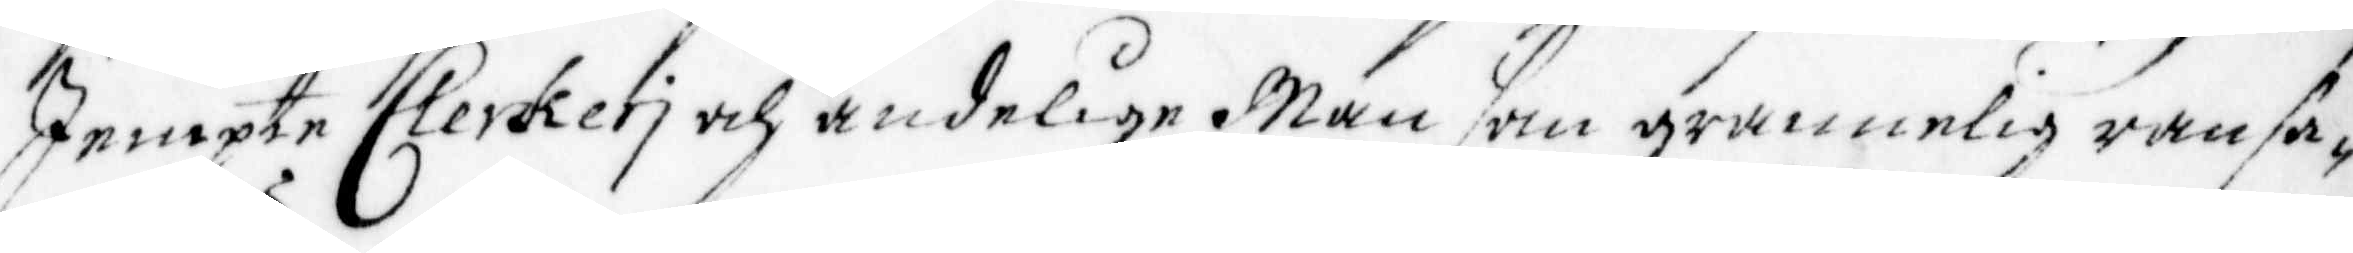Jempte Clerkerj och andelige Män som grannelig ransa¬
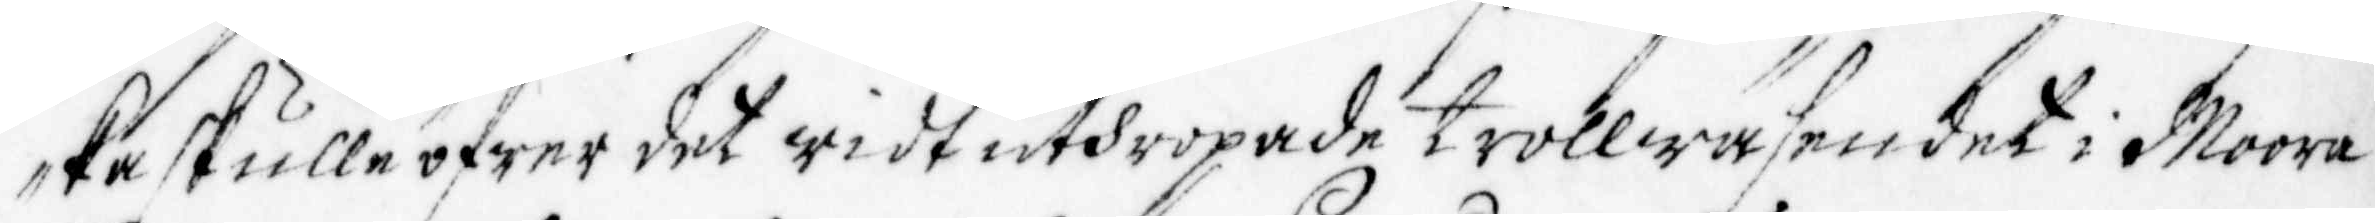ka skulle öfwer det widt uthropade trollwäsendet i Moora
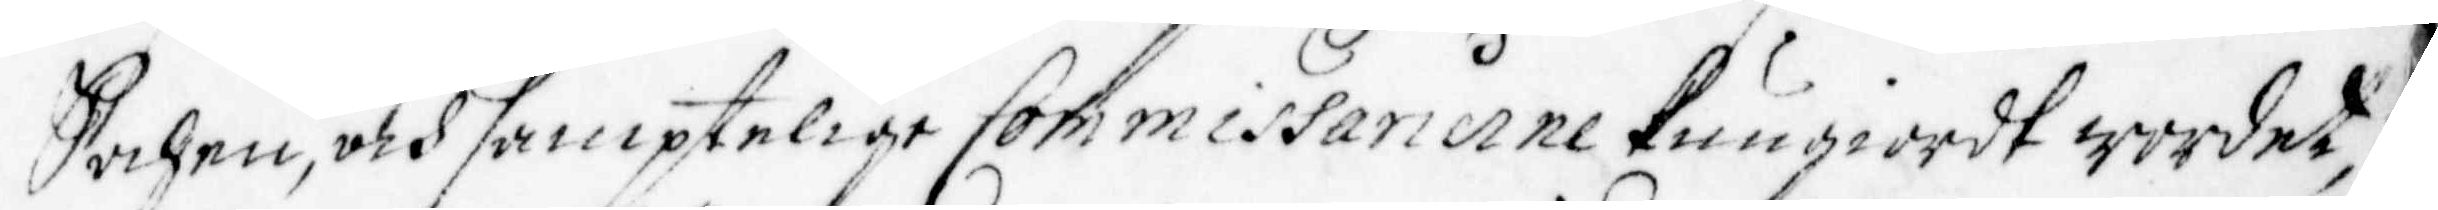Sochen, och samptelige Commissarierne kungiordt wordet,
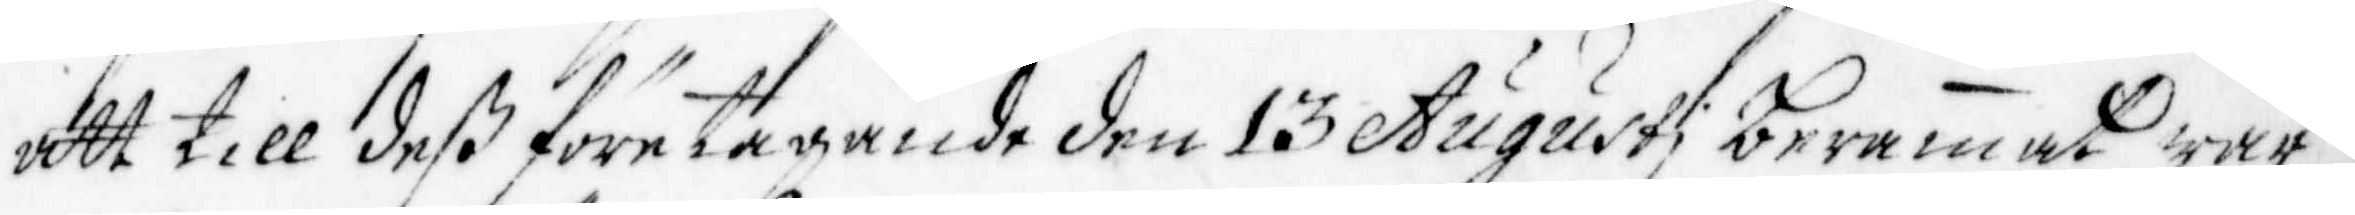att till deß företagande den 13 Augusti berammat war
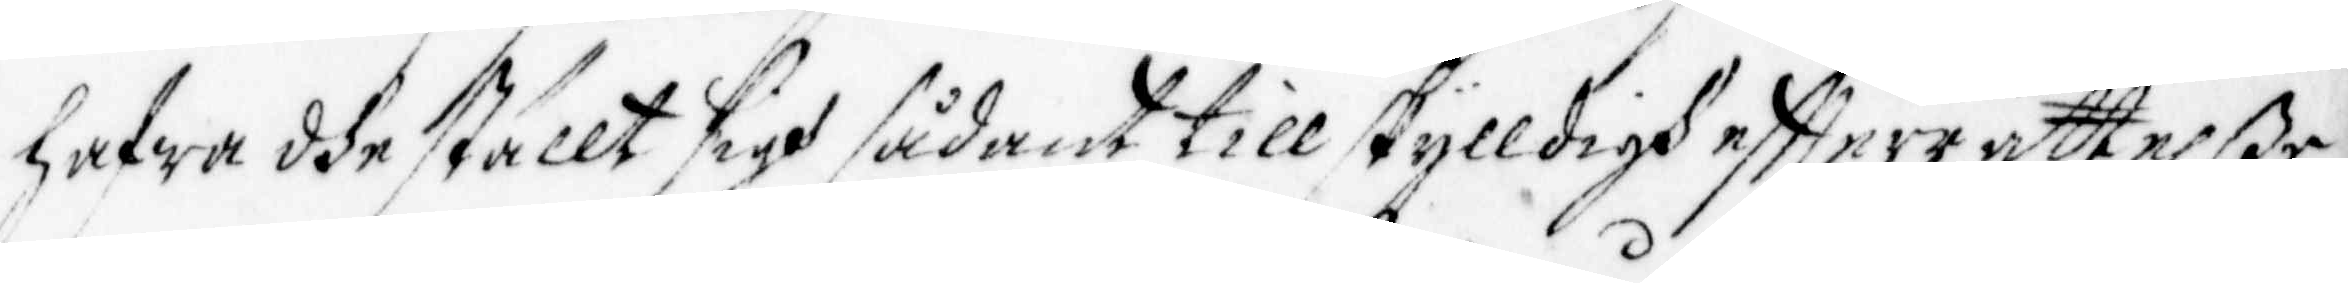hafwa dhe ställt sigh sådant till skylldigh effterrättelße,
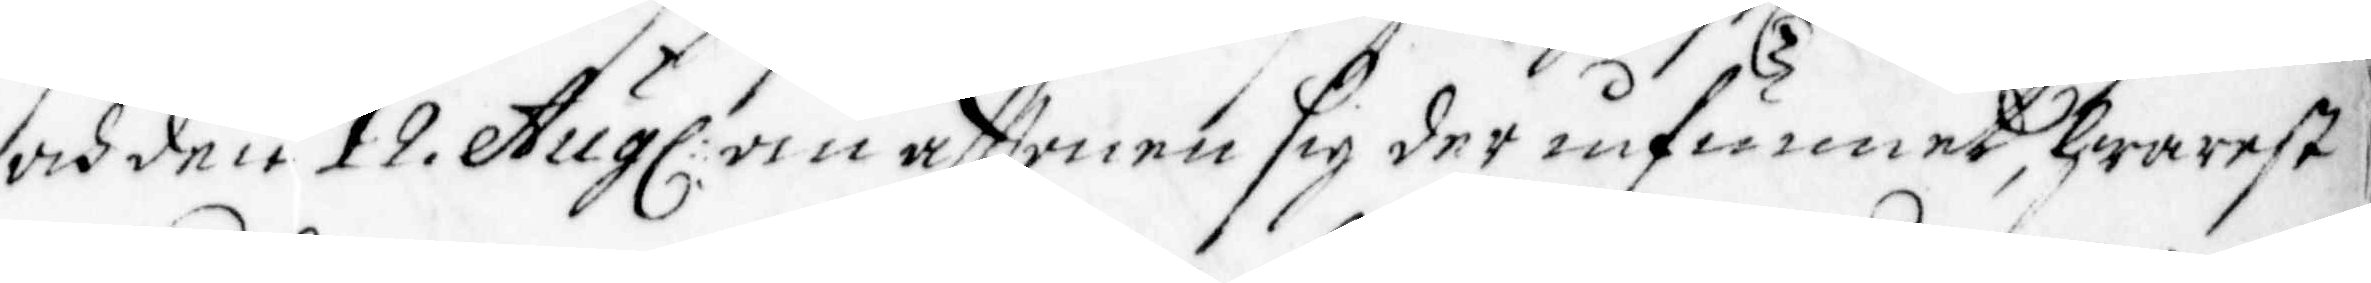och den 12 Aug: om afftonen sig der infunnet, hwarest
